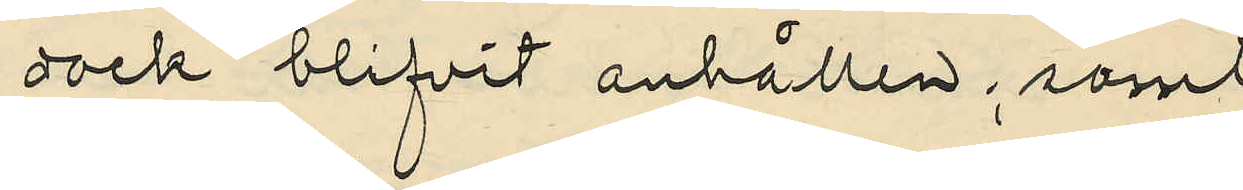dock blifvit anhållen; samt
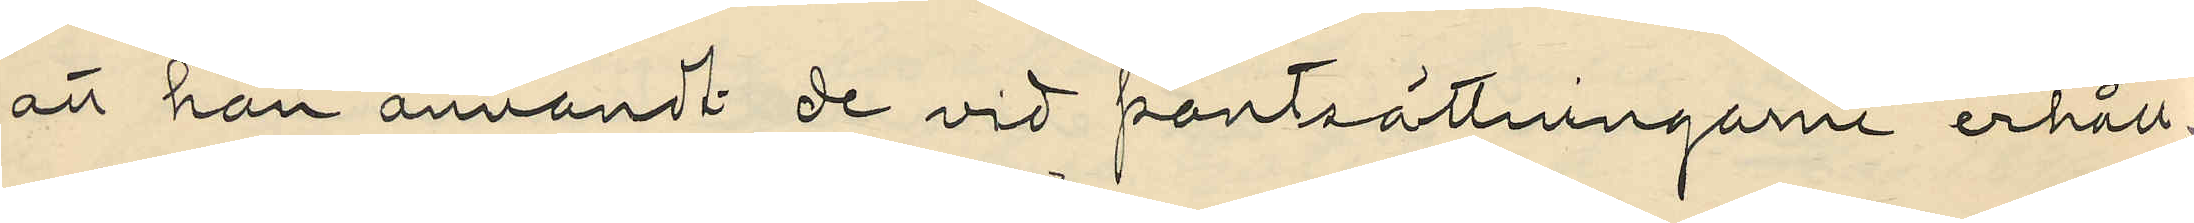att han användt de vid pantsättningarne erhåll¬
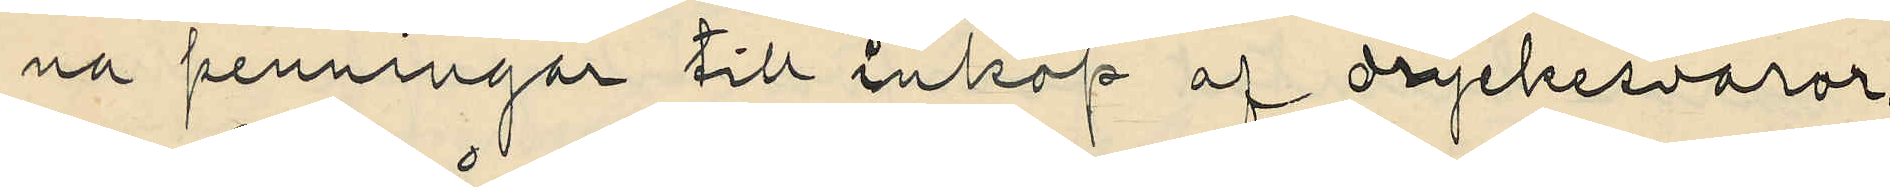na penningar till inköp af dryckesvaror.
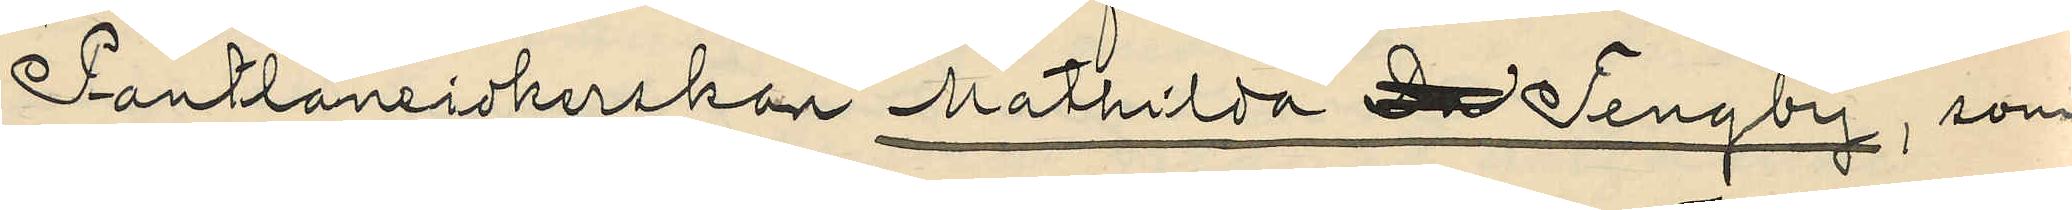Pantlåneidkerskan Mathilda D Tengby, som
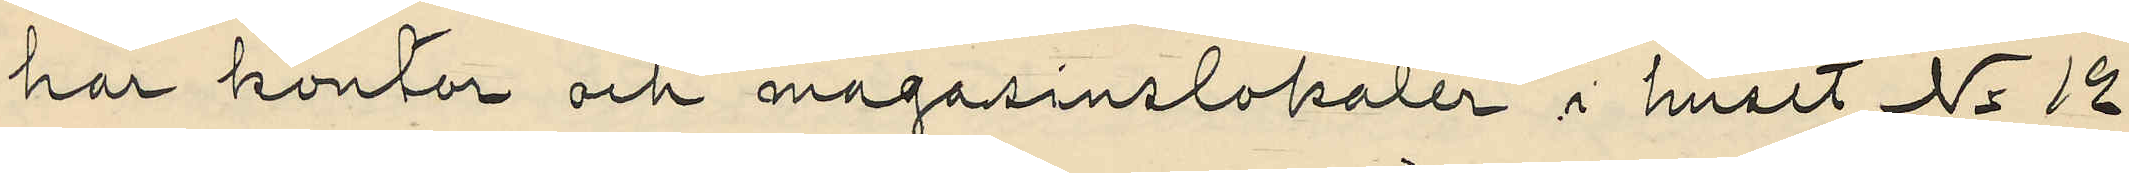har kontor och magasinslokaler i huset No 12
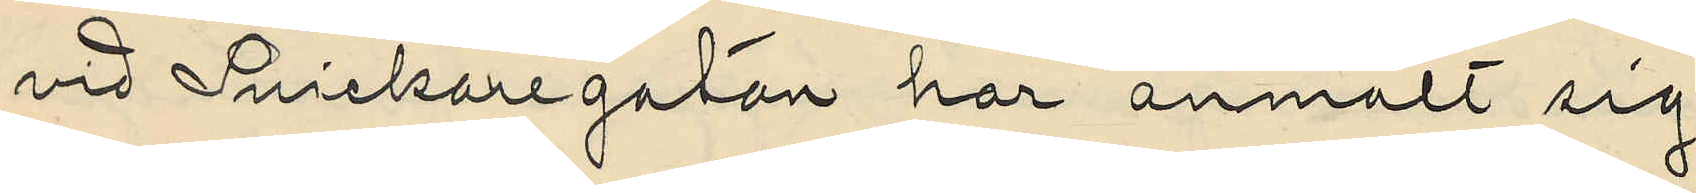vid Snickaregatan har anmält sig
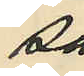så¬
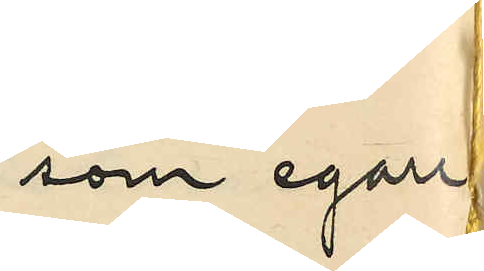som egare
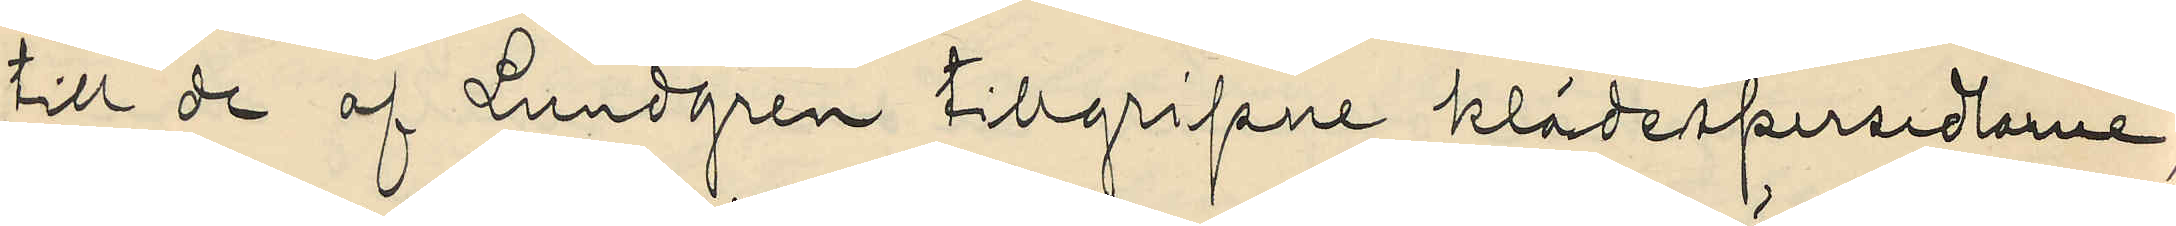till de af Lundgren tillgripne klädespersedlarne,
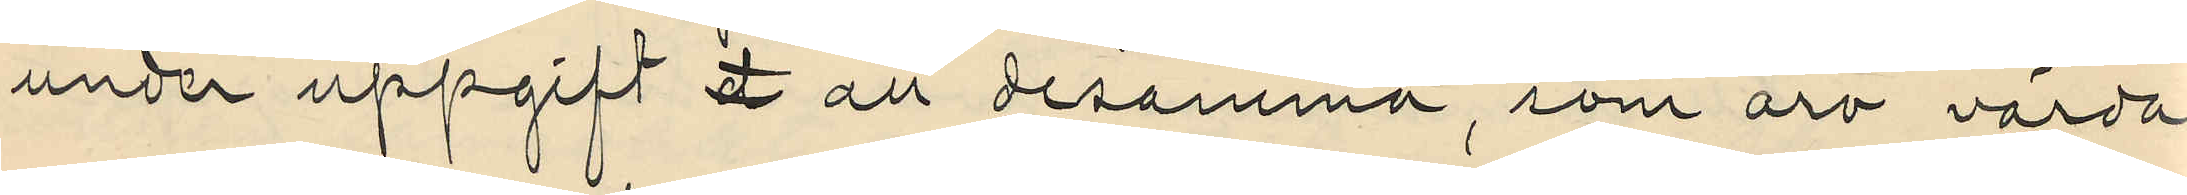under uppgift d att desamma, som äro värda:
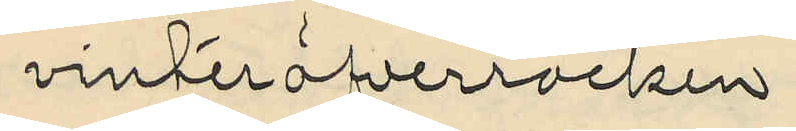vinteröfverrocken
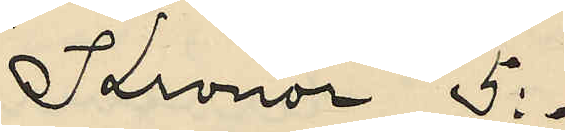Kronor 5:-
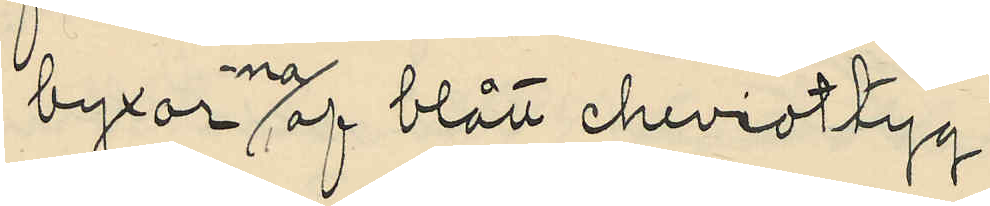byxor-na af blått cheviottyg
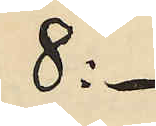8:-
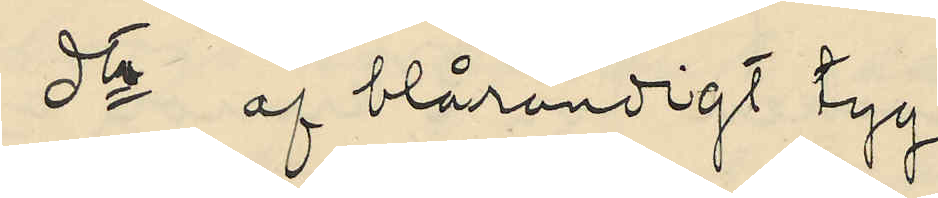dto af blårandigt tyg
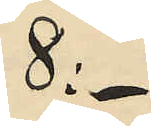8:-
